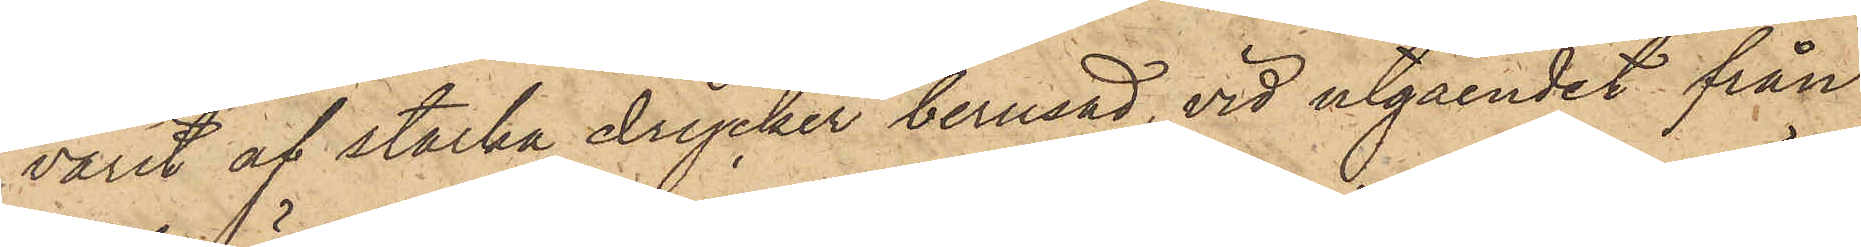varit af starka drycker berusad, vid utgåendet från
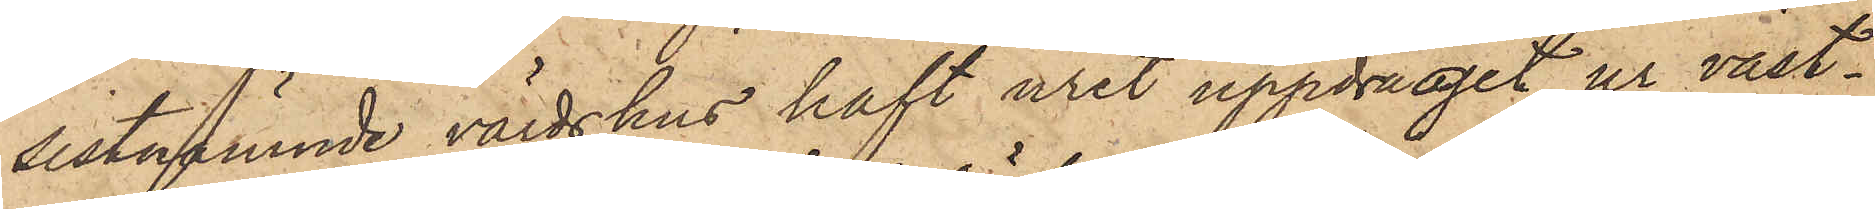sistnämnde värdshus haft uret uppdraget ur väst¬
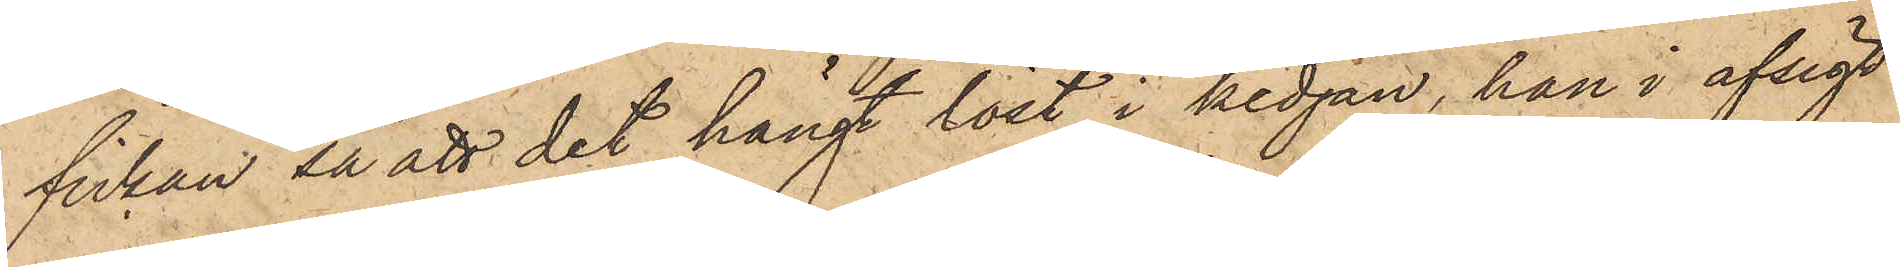fickan så att det hängt löst i kedjan, han i afsigt
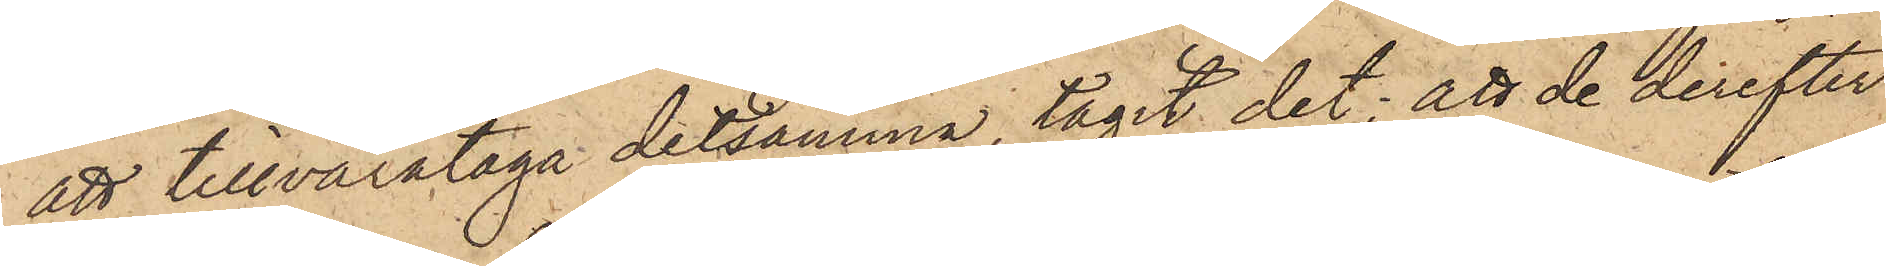att tillvarataga detsamma, tagit det; att de derefter
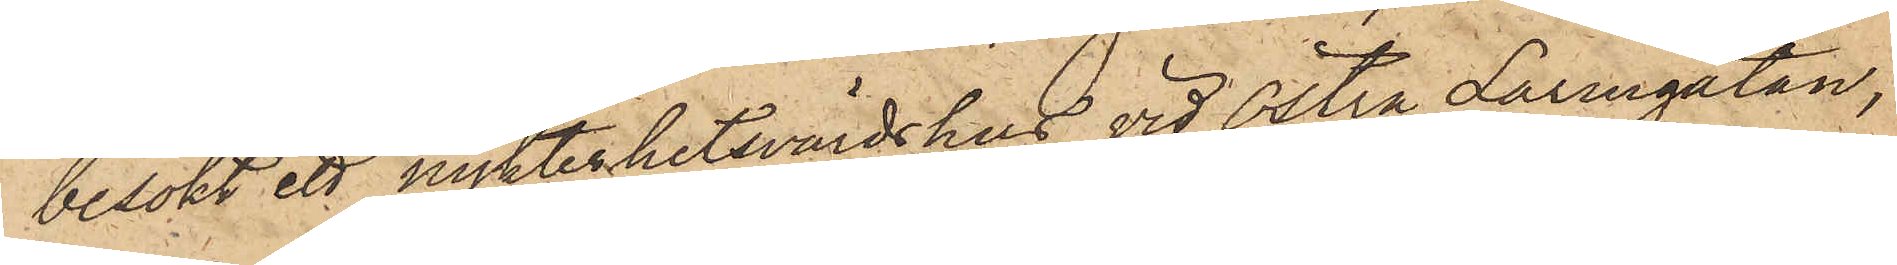besökt ett nykterhetsvärdshus vid Östra Larmgatan,
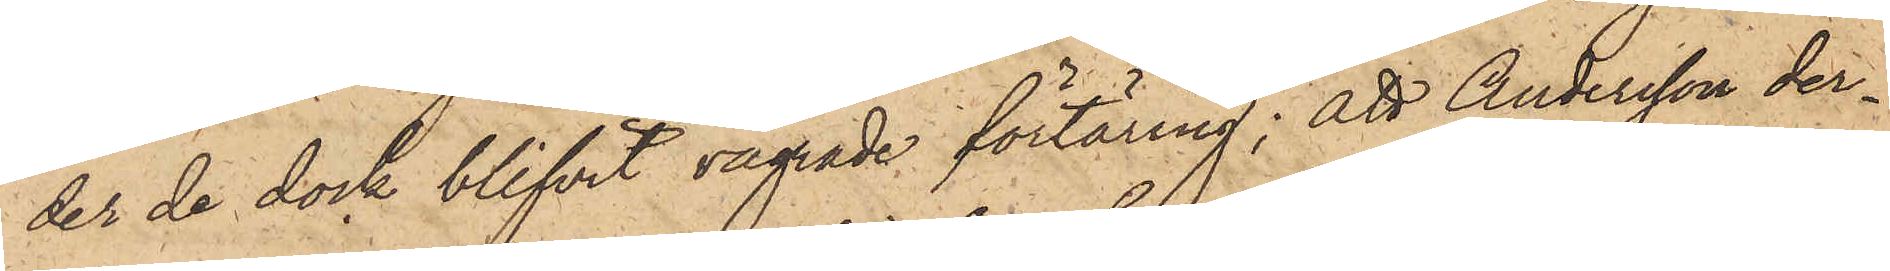der de dock blifvit vägrade förtäring; att Andersson der¬
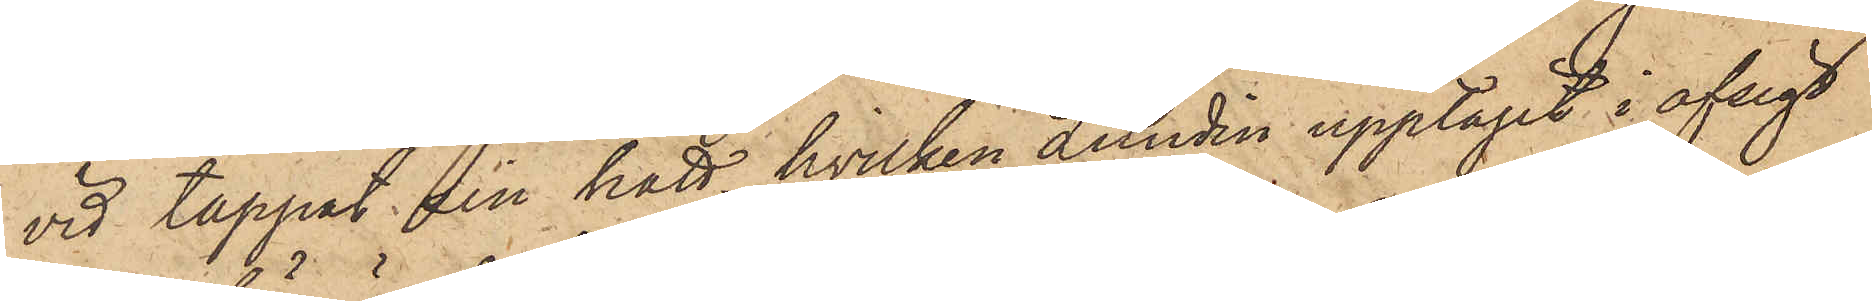vid tappat sin hatt, hvilken Lundin upptagit i afsigt
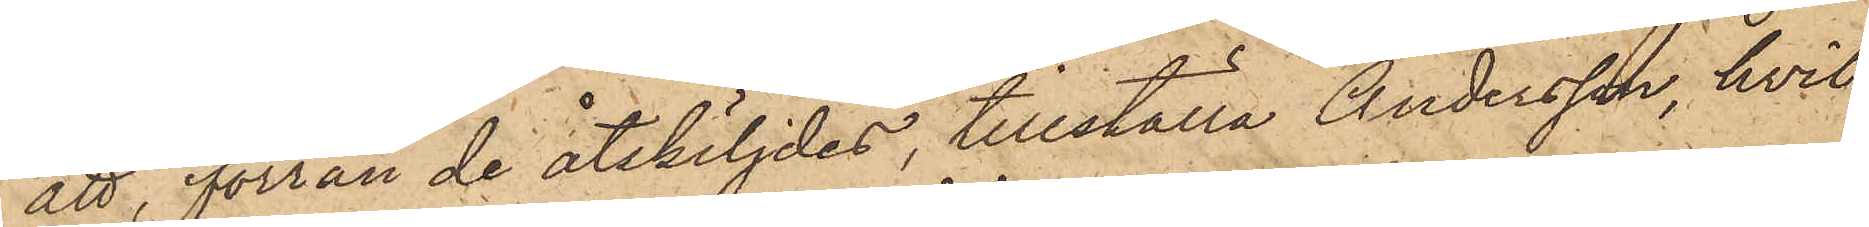att, förrän de åtskiljdes, tillställa Andersson, hvil¬
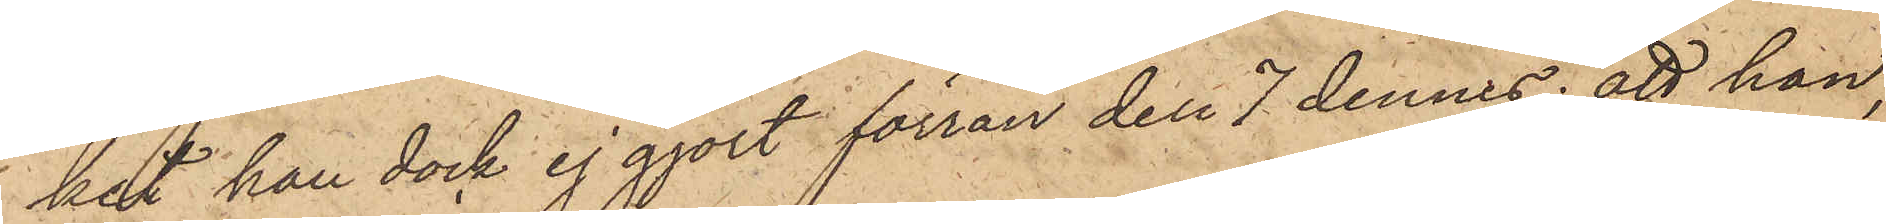ket han dock ej gjort förrän den 7 dennes; att han,
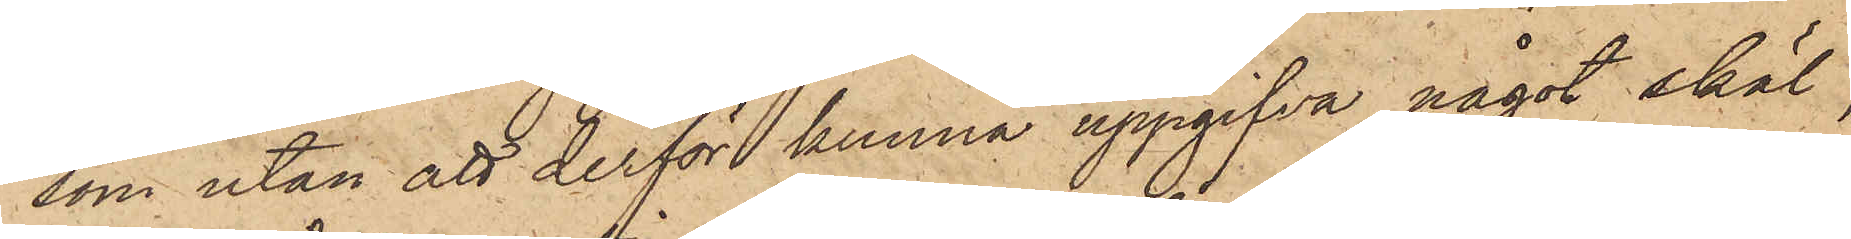som utan att derför kunna uppgifva något skäl,
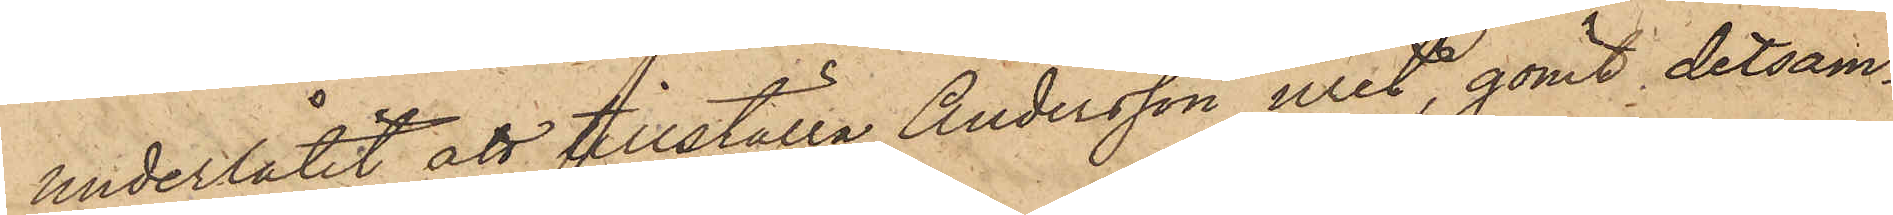underlåtit att tillställa Andersson uret, gömt detsam¬
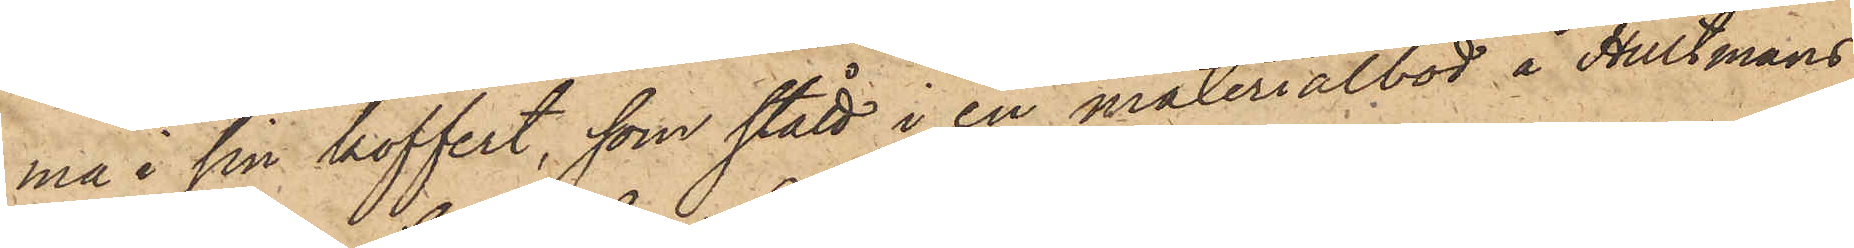ma i sin koffert, som stått i en materialbod å Hultmans¬
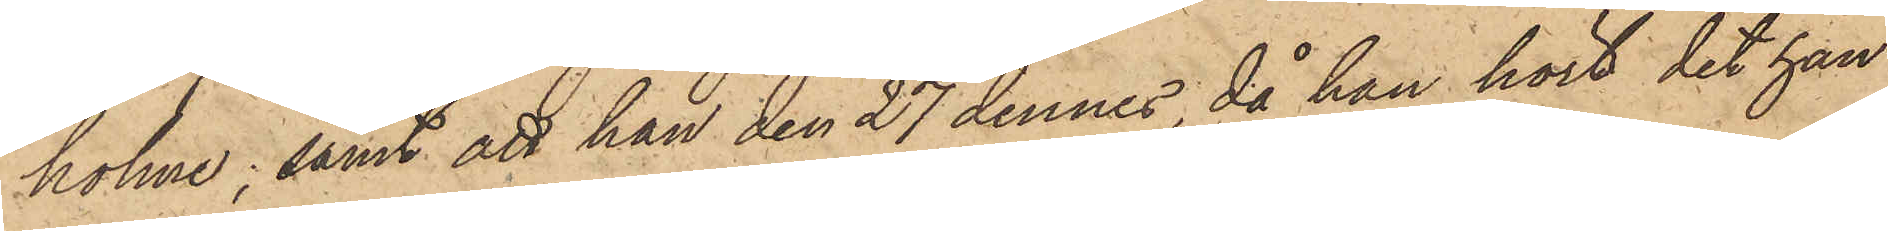holme; samt att han den 27 dennes, då han hört det han
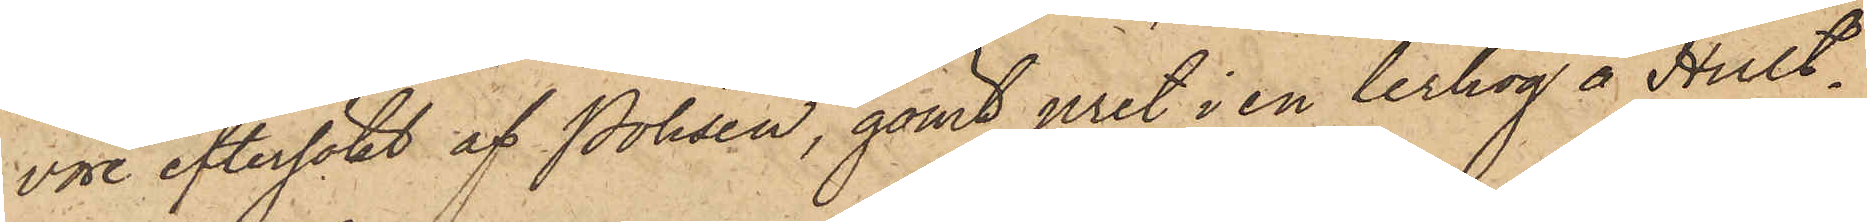vore eftersökt af Polisen, gömt uret i en lerhög å Hult¬
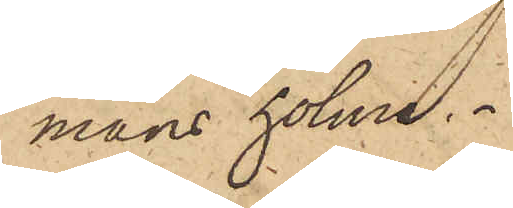mans holme.
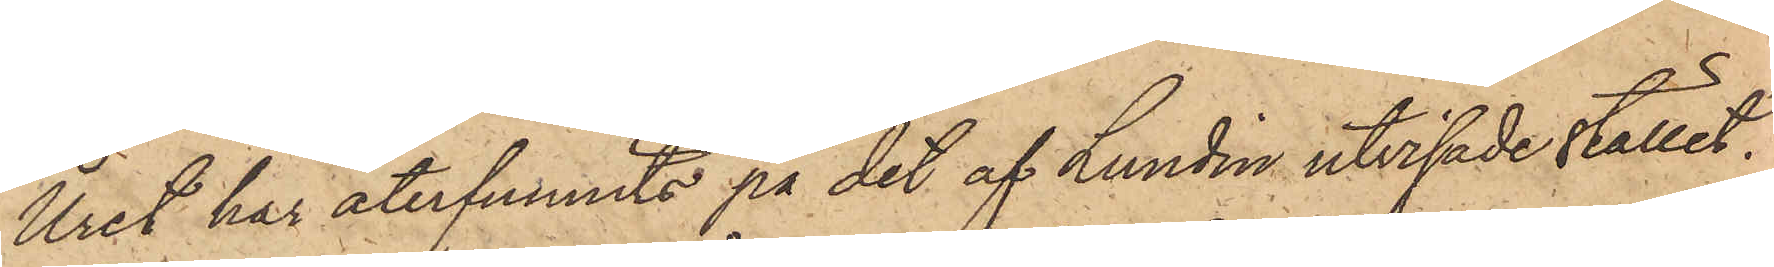Uret har återfunnits på det af Lundin utvisade stället.
